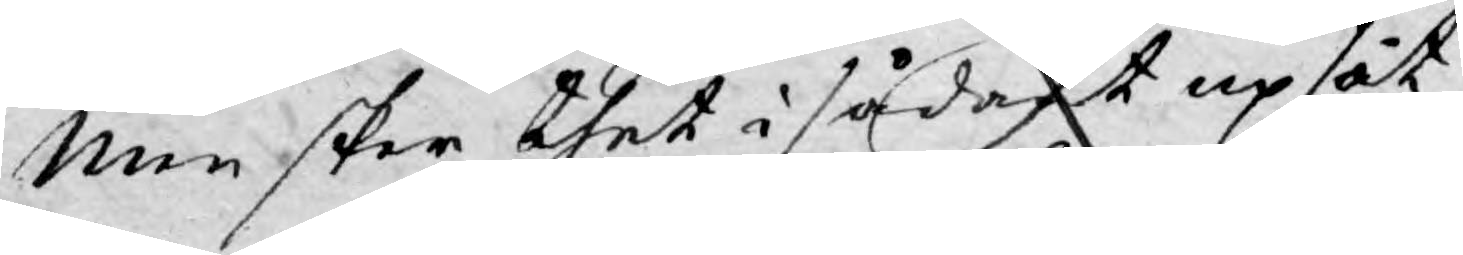Men sker thet i sådant upsåt,
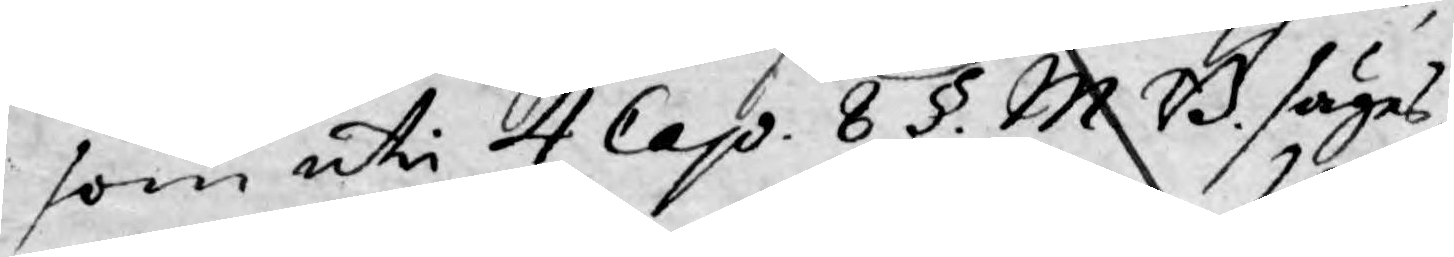som uti 4 Cap. 8 §. M. B. säges,
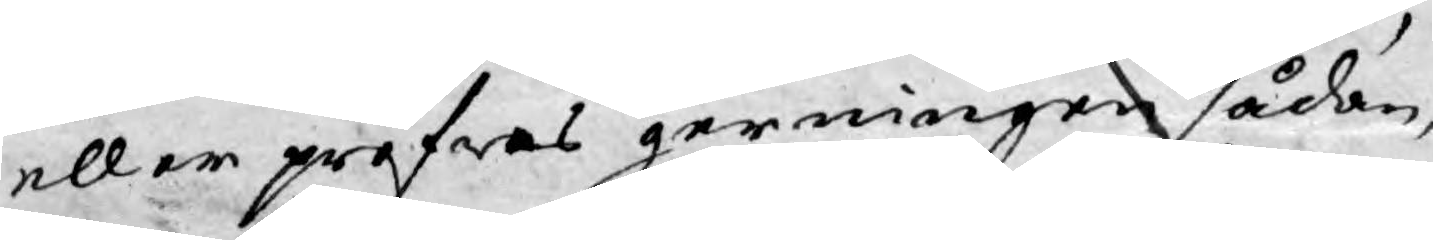eller pröfwas gerningen sådan,
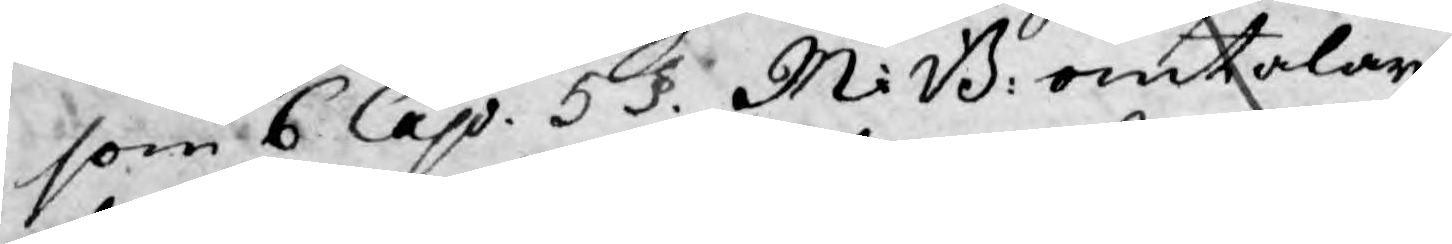som 6 Cap. 5 §. M:B: omtalar,
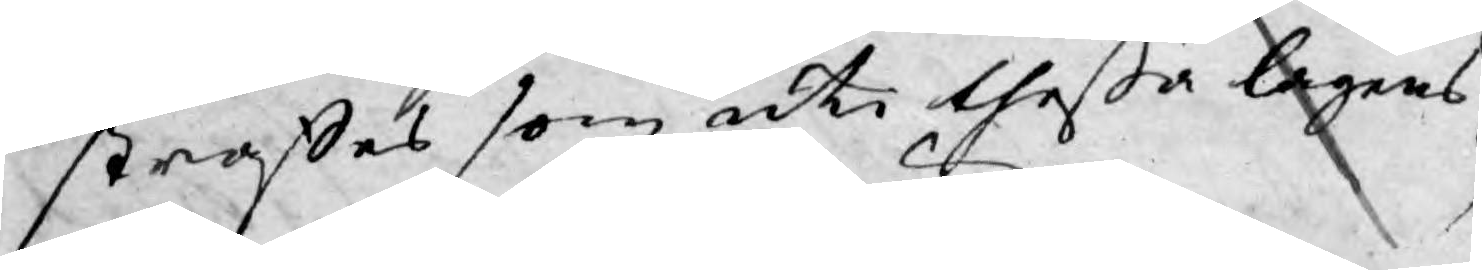straffes som uti theßa lagens
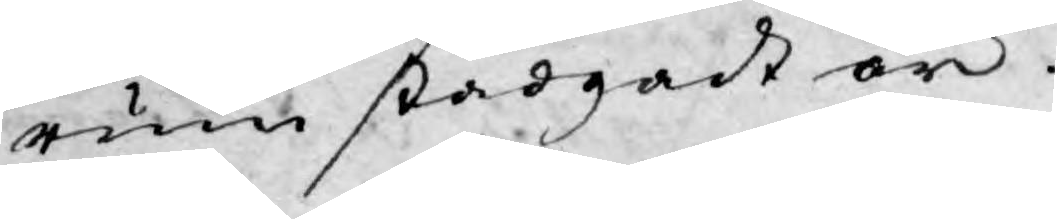rum stadgadt är.
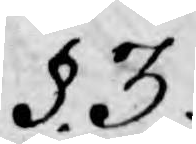§.3.
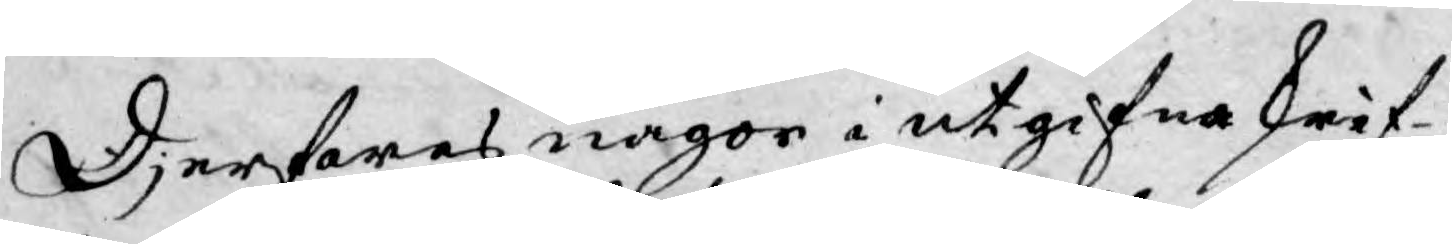Djerfwes någor i utgifna skrif¬
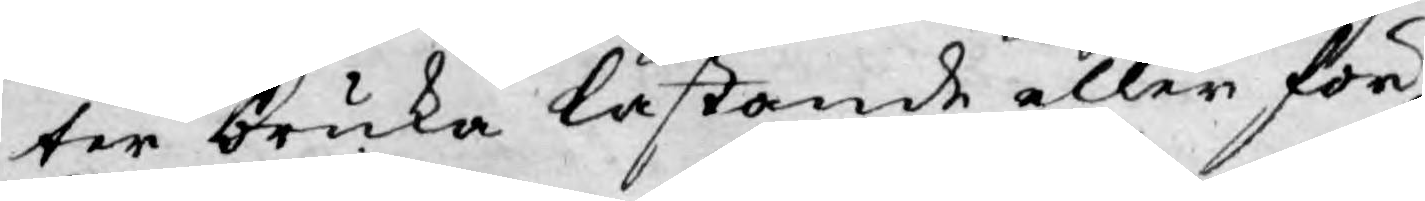ter bruka lastande eller för
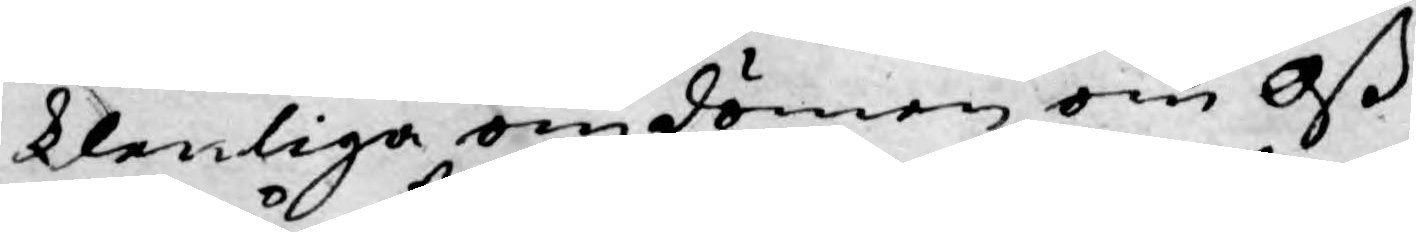klenliga omdömen om Oß
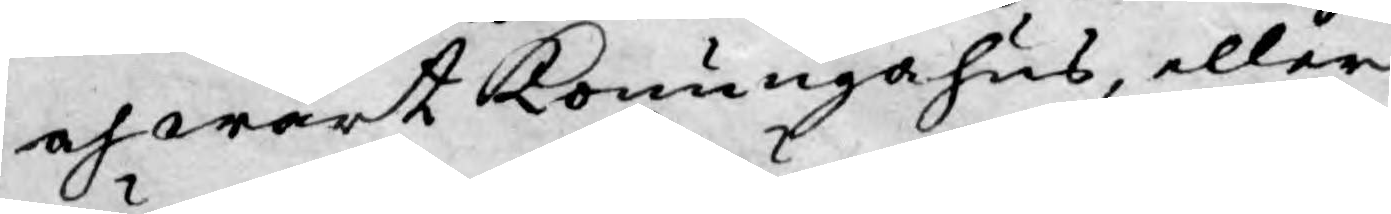och wårt Konungahus, eller
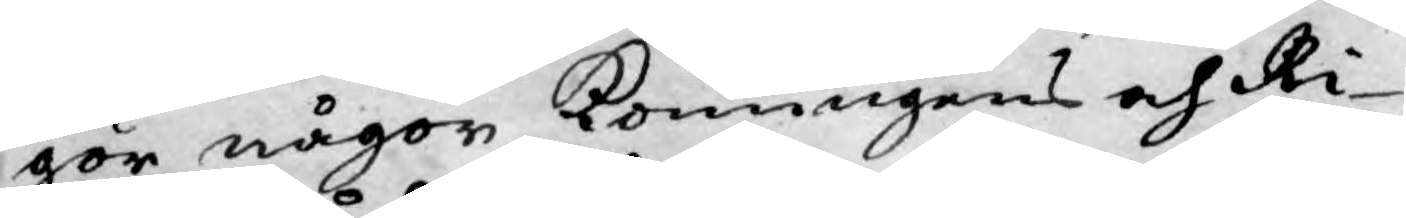gör någon Konungens och Ri¬
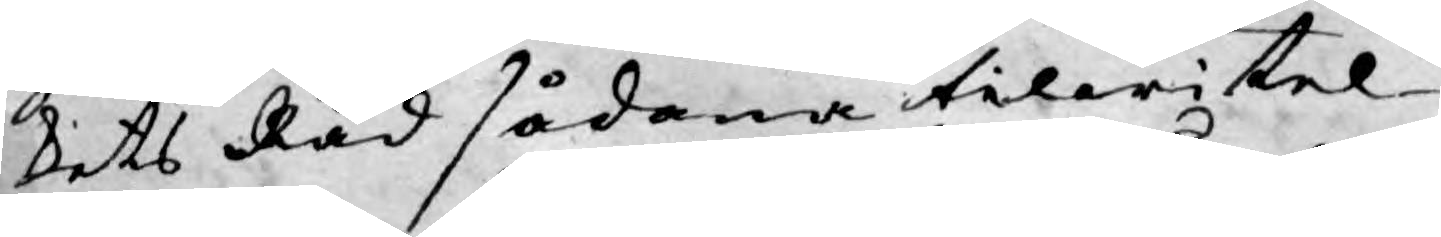kets Råd sådana tilwitel¬
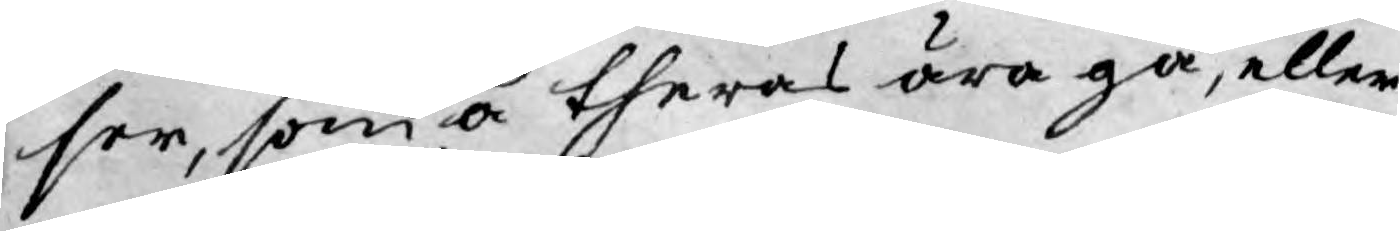ser, som å theras ära gå, eller
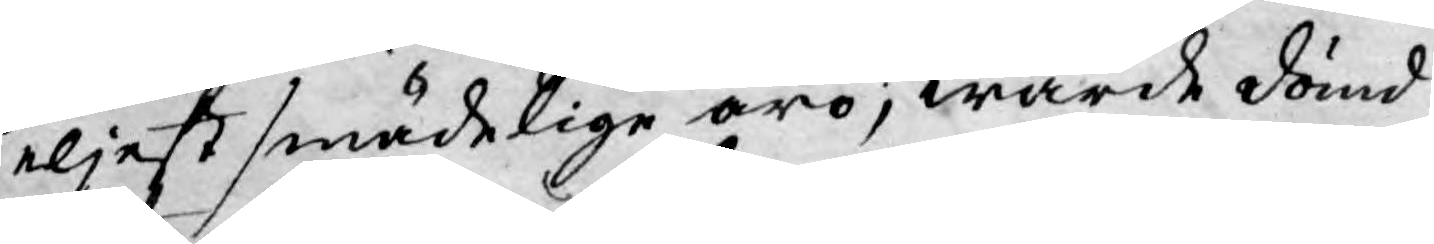eljest smädelige äro; warde dömd
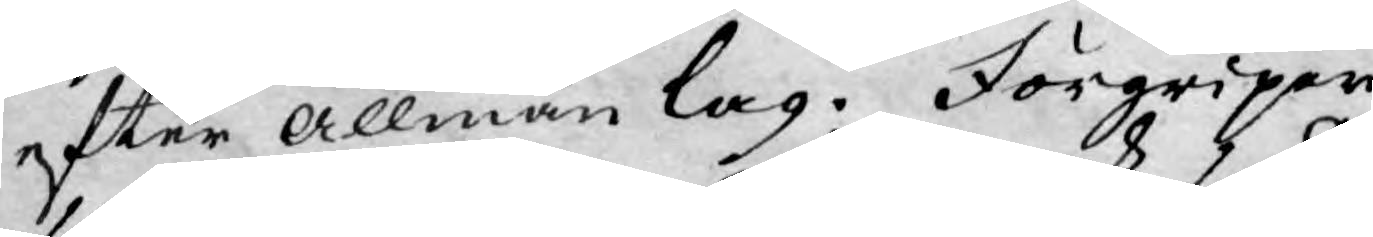efter allmän lag. Förgriper
